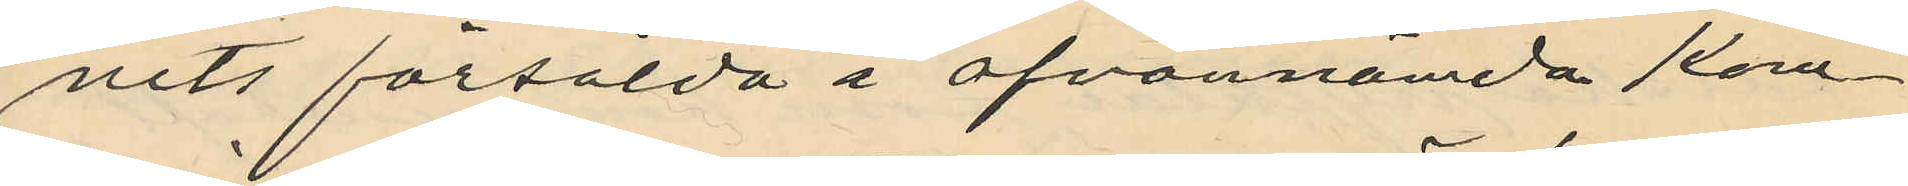nits försålda i ofvannämda kom¬
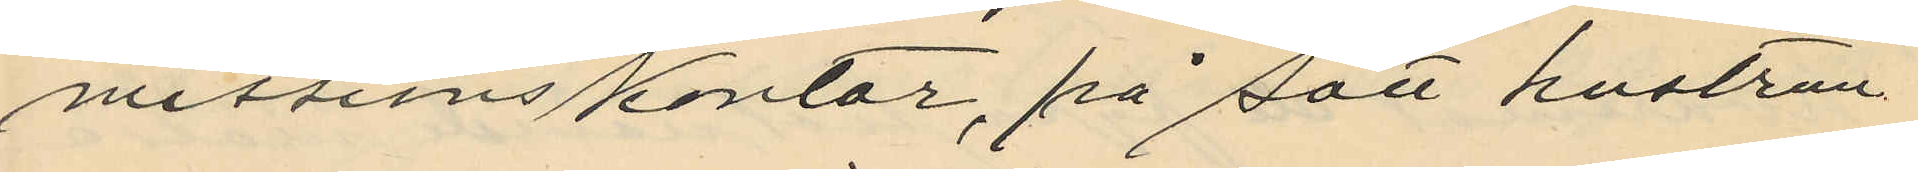missionskontor, på sätt hustrun
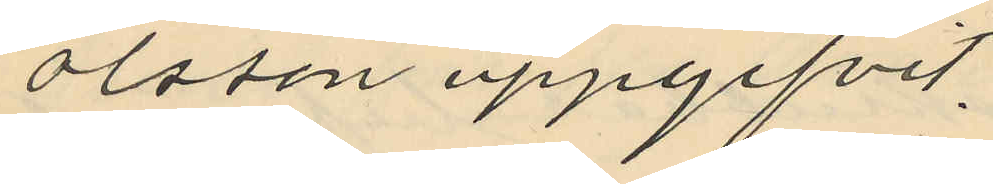Olsson uppgifvit.
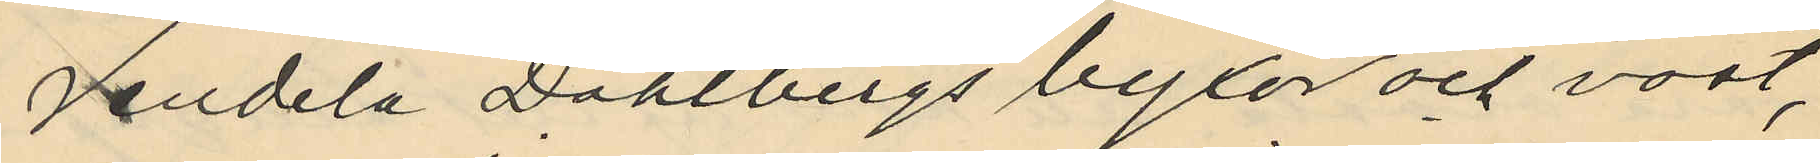Vandela Dahlbergs byxor och väst,
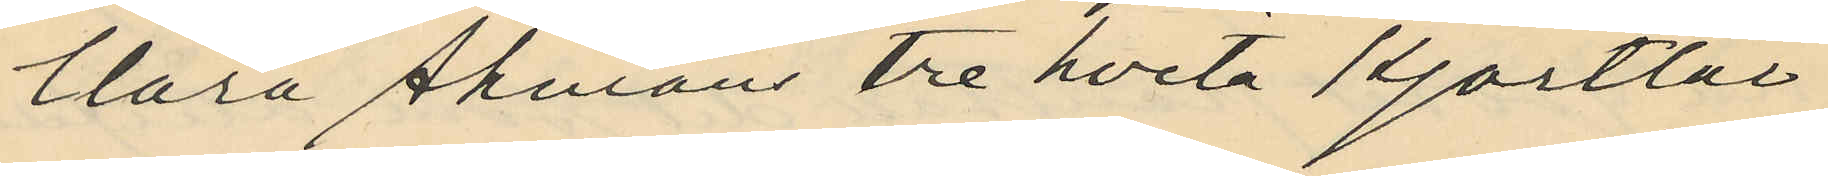Clara Åhmans tre hvita kjortlar
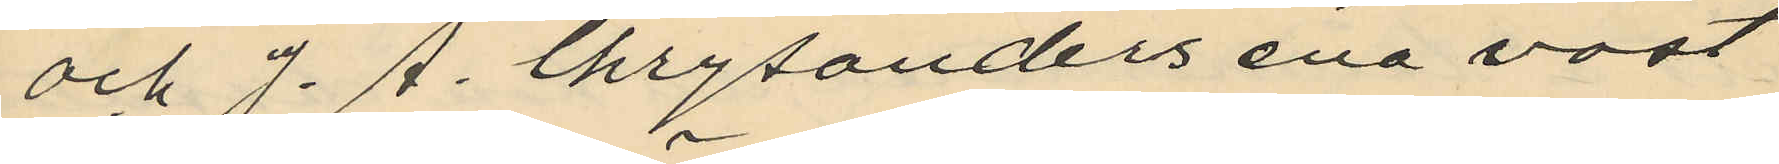och J. A. Chrysanders ena väst
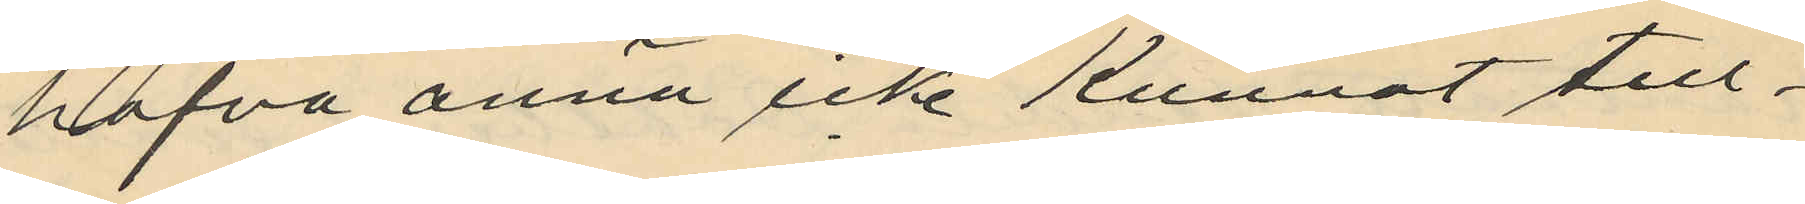hafva ännu icke kunnat till¬
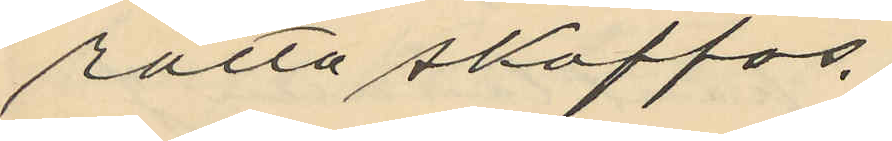rätta skaffas.
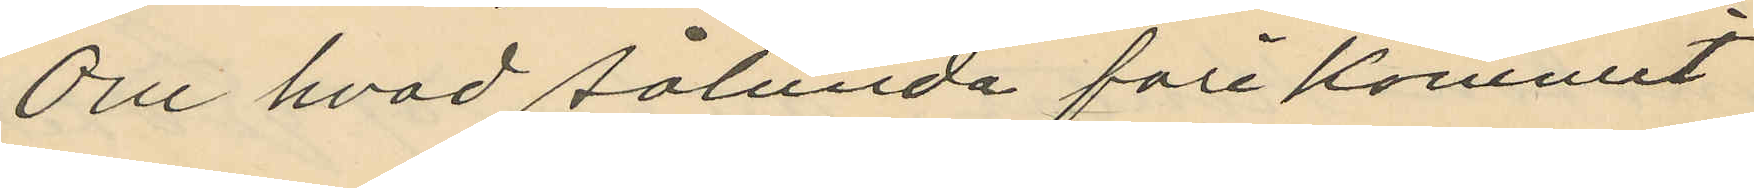Om hvad sålunda förekommit
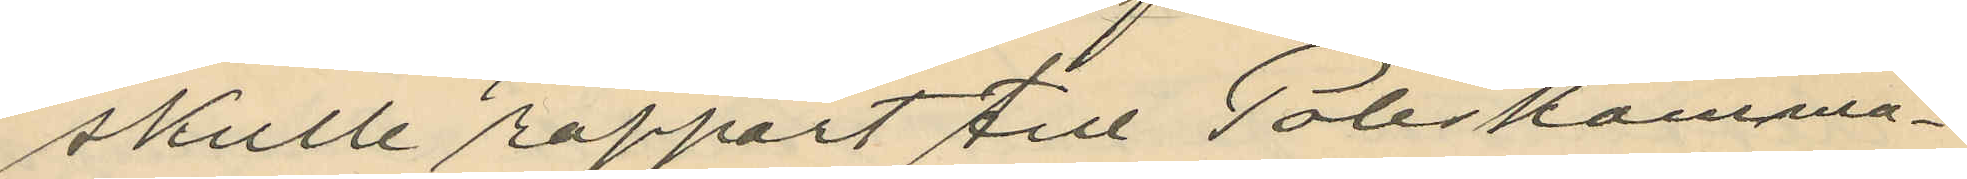skulle rapport till Poliskamma¬
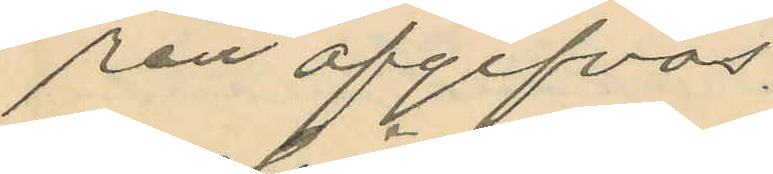ren afgifvas.
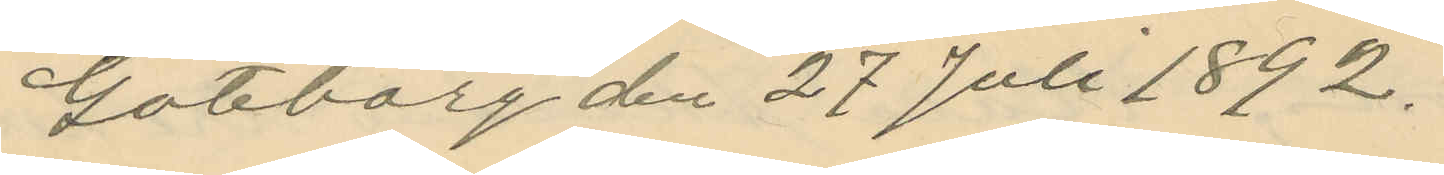Göteborg den 27 Juli 1892.
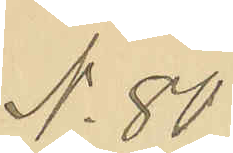No 80
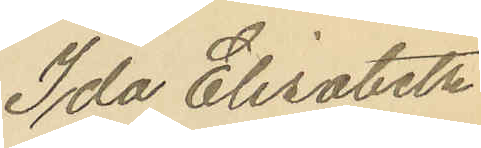Ida Elisabeth
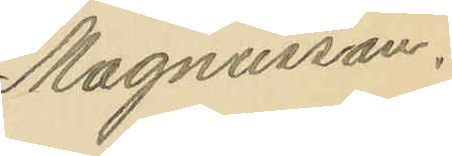Magnusson.
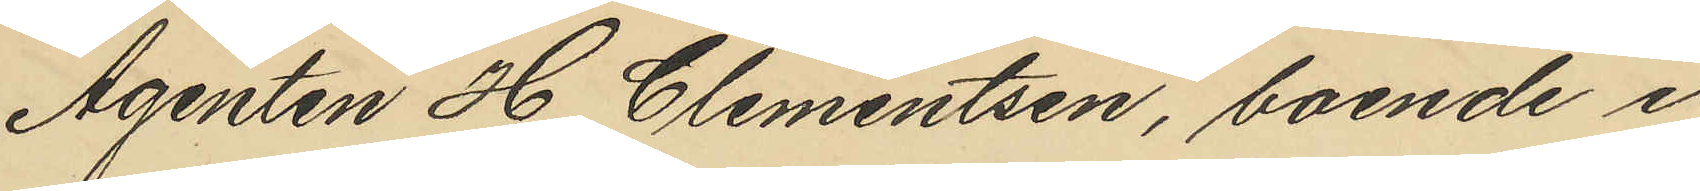Agenten H. Clementsen, boende i
